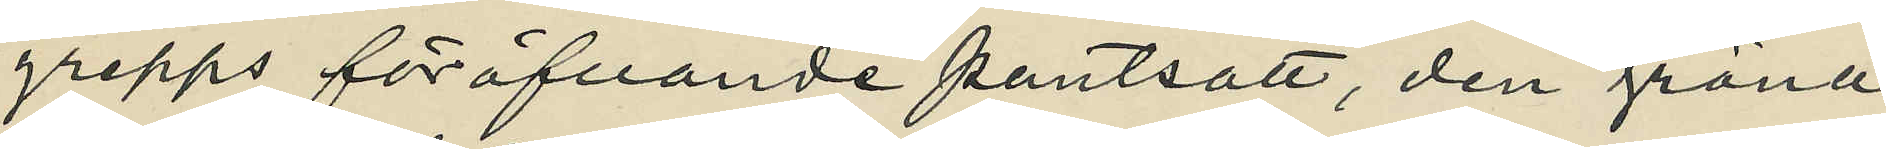grepps föröfvande pantsatt, den gröna
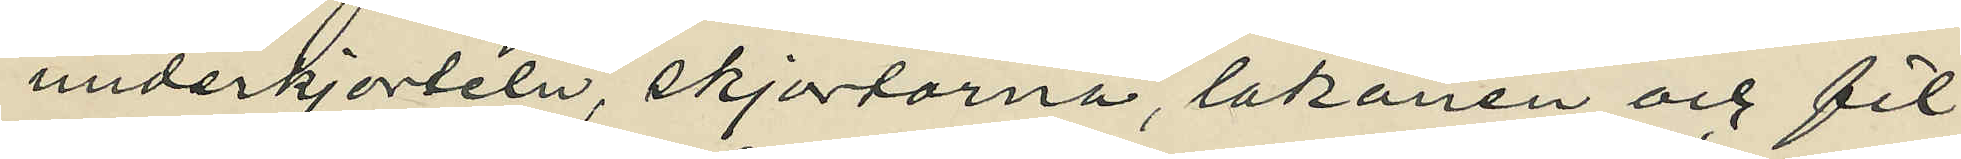underkjorteln, skjortorna, lakanen och fil¬
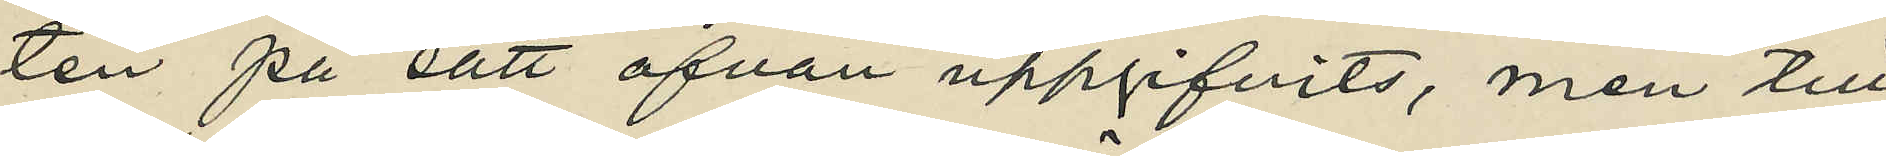ten på sätt ofvan uppgifvits, men till
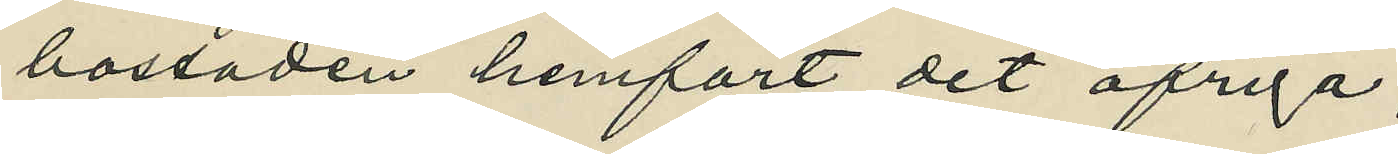bostaden hemfört det öfriga;
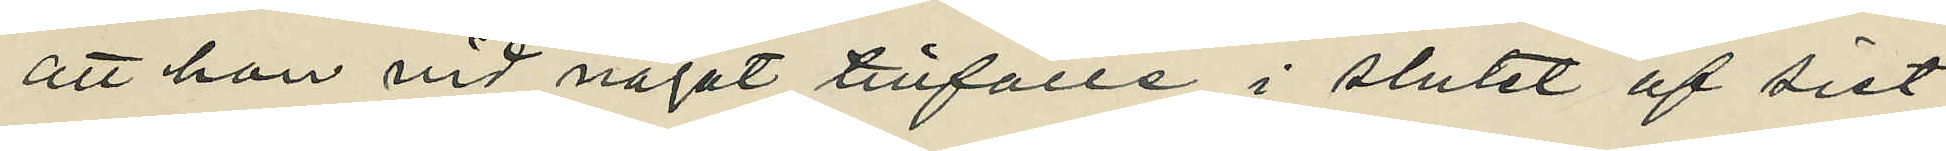att hon vid något tillfälle i slutet af sist¬
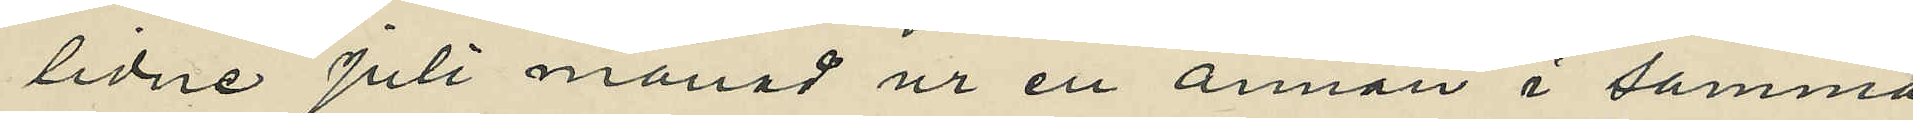lidne Juli månad ur en annan i samma
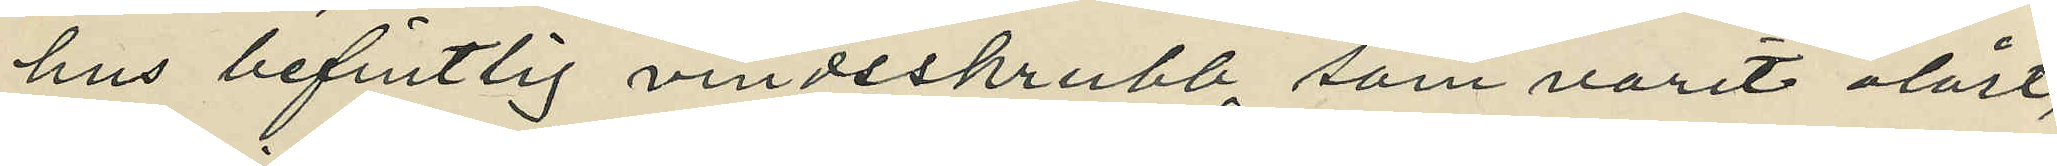hus befintlig vindsskrubb, som varit olåst,
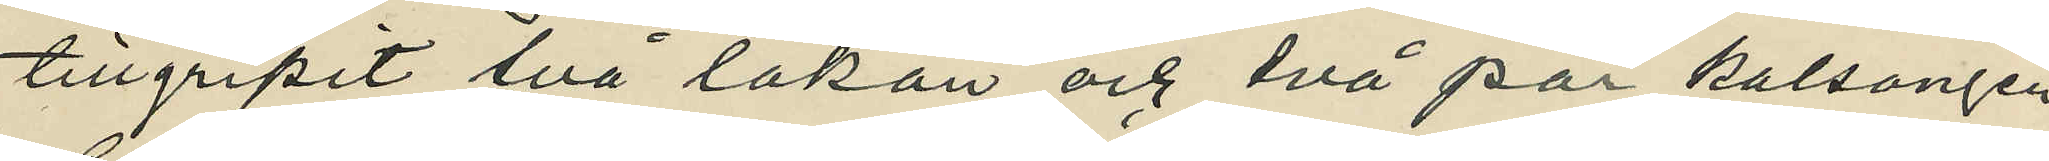tillgripit två lakan och två par kalsonger,
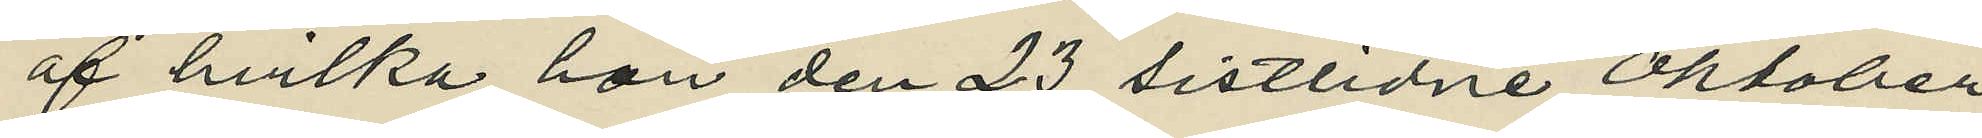af hvilka hon den 23 sistlidne Oktober
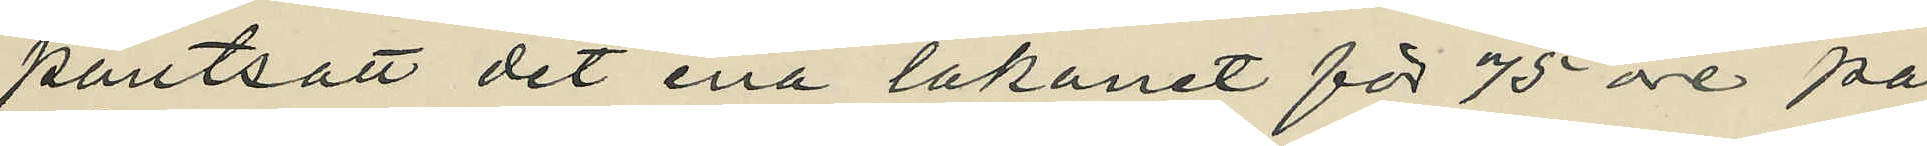pantsatt det ena lakanet för 75 öre på
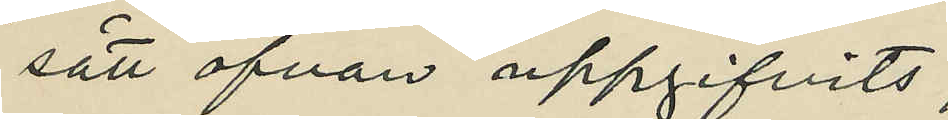sätt ofvan uppgifvits;
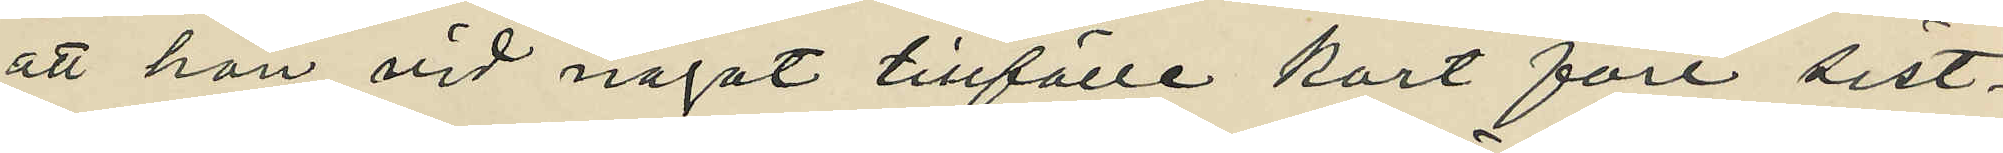att hon vid något tillfälle kort före sist¬
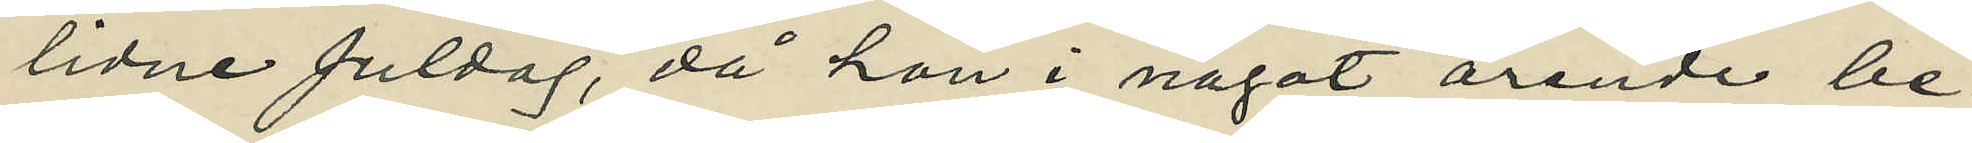lidne Juldag, då hon i något ärende be¬
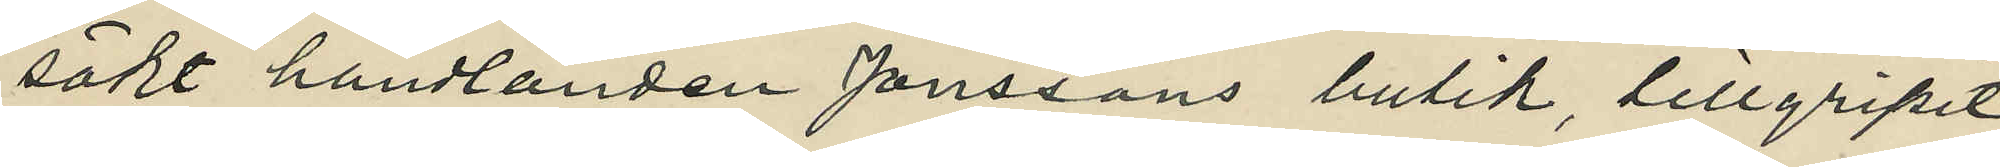sökt handlanden Janssons butik, tillgripit
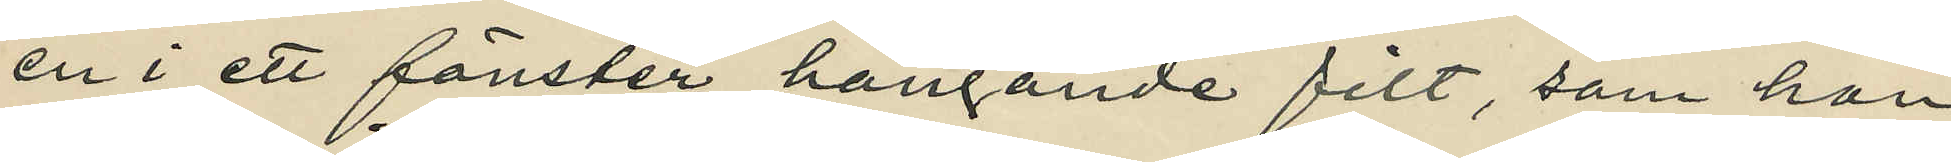en i ett fönster hängande filt, som hon
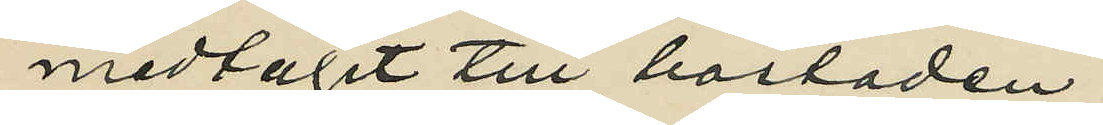medtagit till bostaden;
